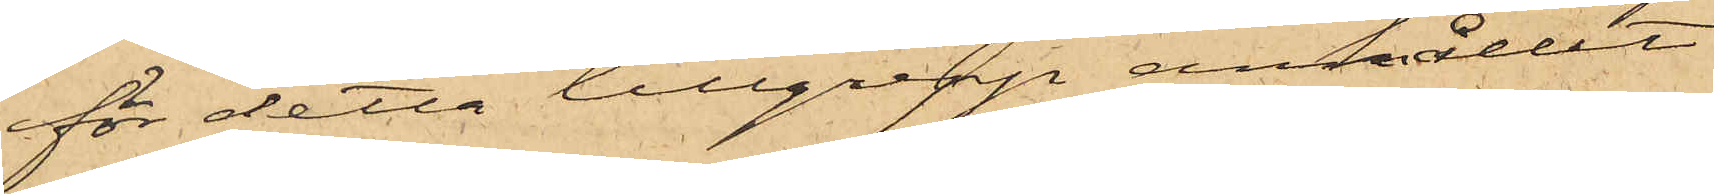för detta tillgrepp anhållit
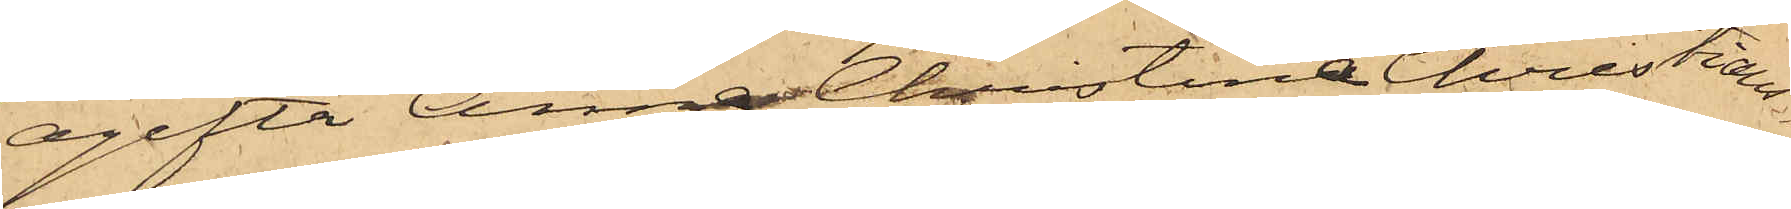ogifta Anna Christina Christians¬
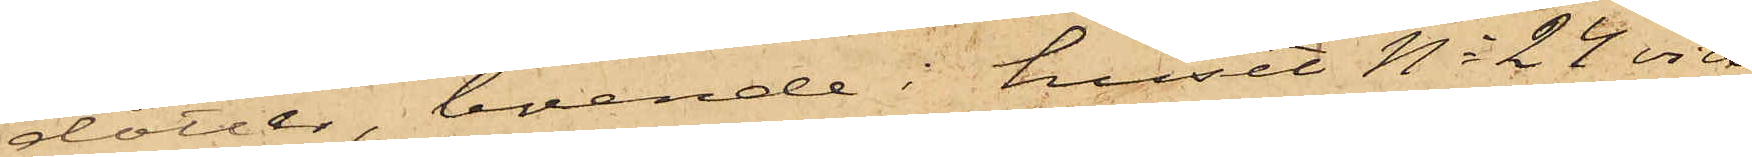dotter, boende i huset No 24 vid
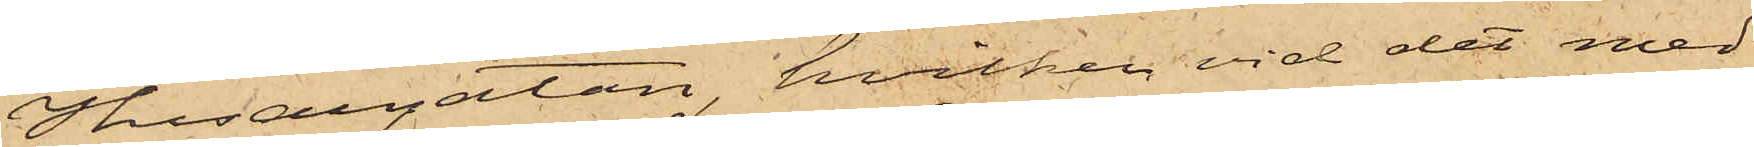Husargatan, hvilken vid det med
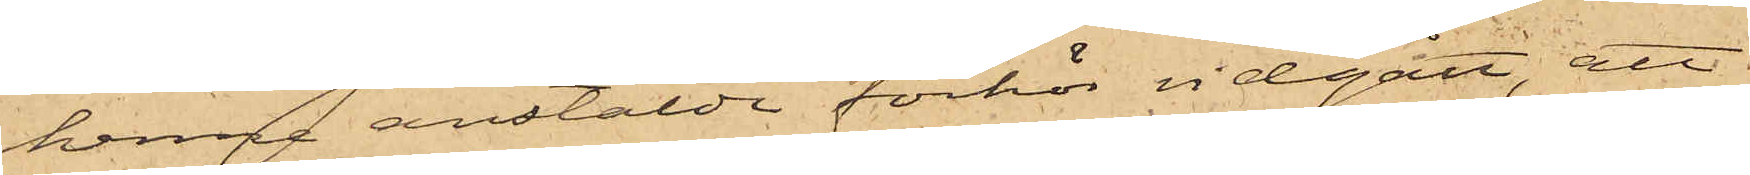henne anstälde förhör vidgått, att
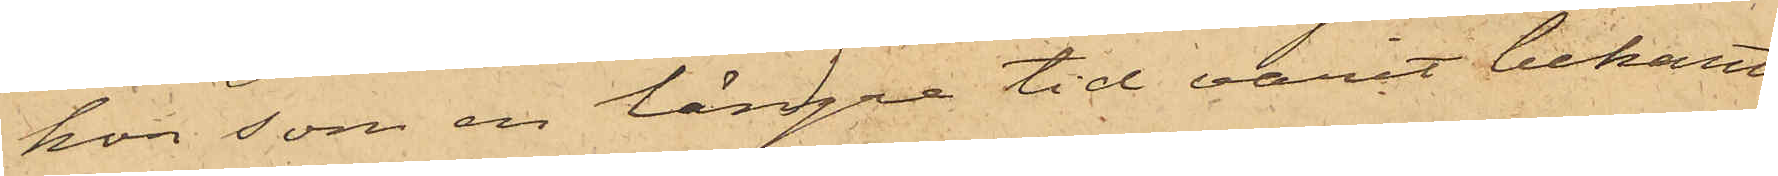hon som en längre tid varit bekant
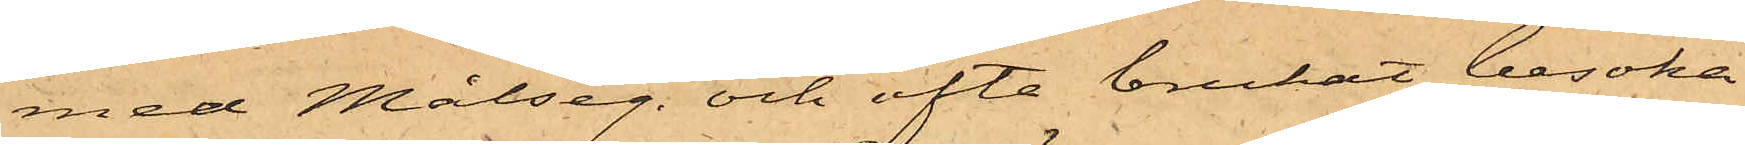med Målseg. och ofta brukat besöka
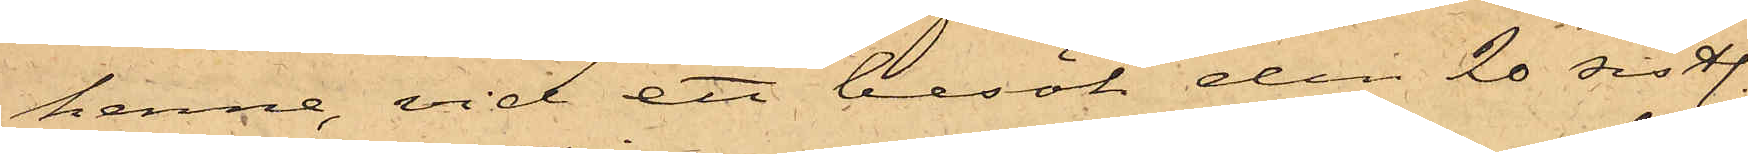henne, vid ett besök den 20 sistl.
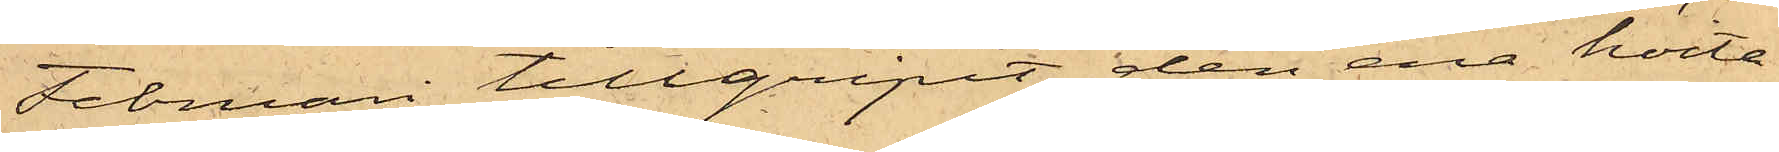Februari tillgripit den ena hvita
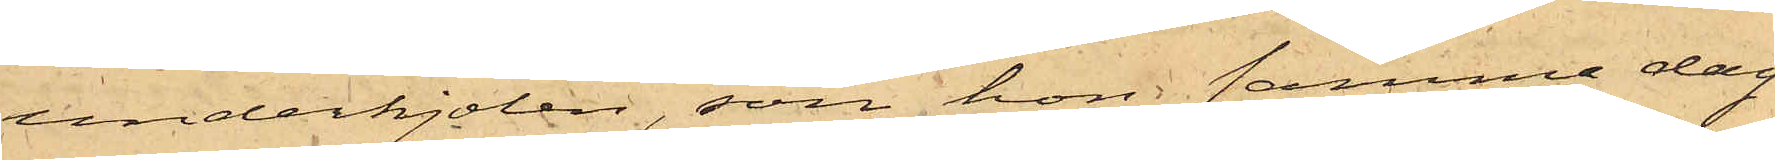underkjolen, som hon samma dag
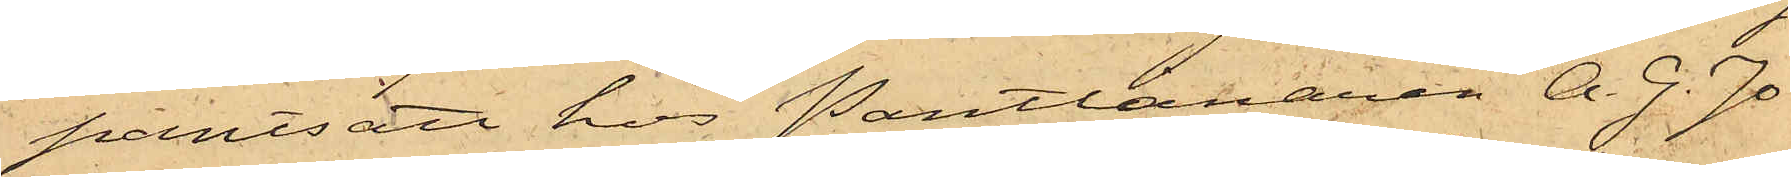pantsatt hos Pantlånaren A. G. Jo¬
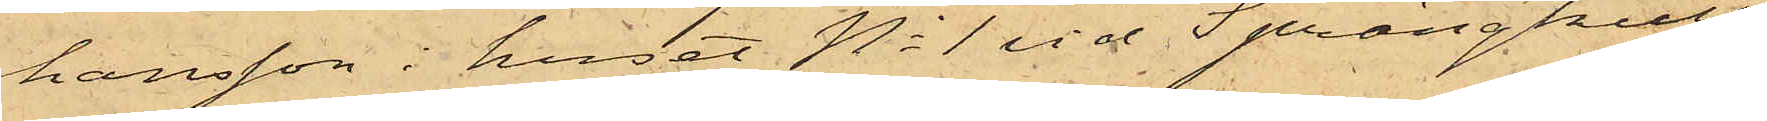hansson i huset No 1 vid Sprängkulls¬
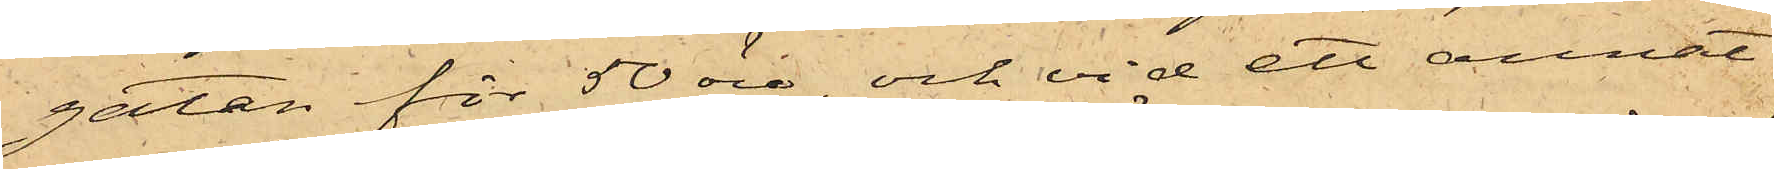gatan för 50 öre, och vid ett annat
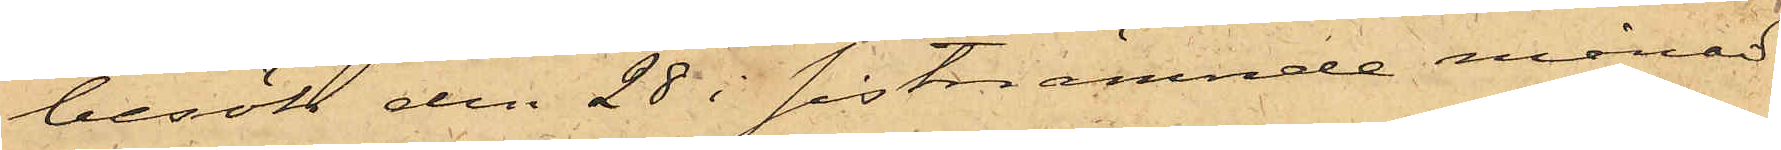besök den 28 i sistnämnde månad
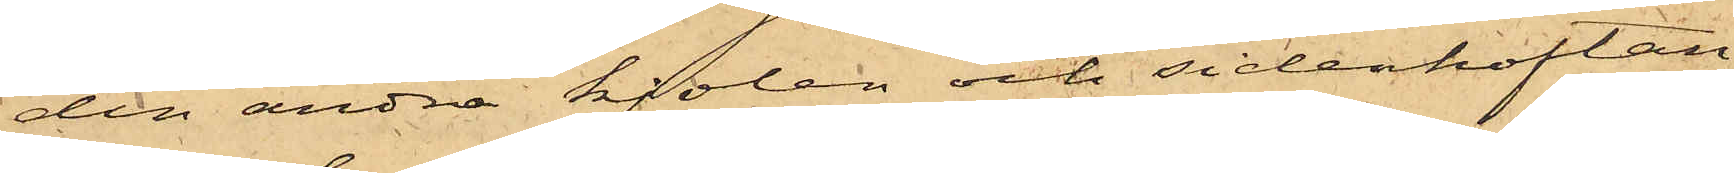den andra kjolen och sidenkoftan,
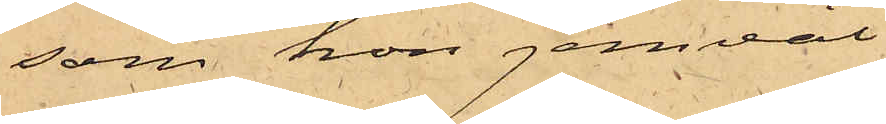som hon jemväl
